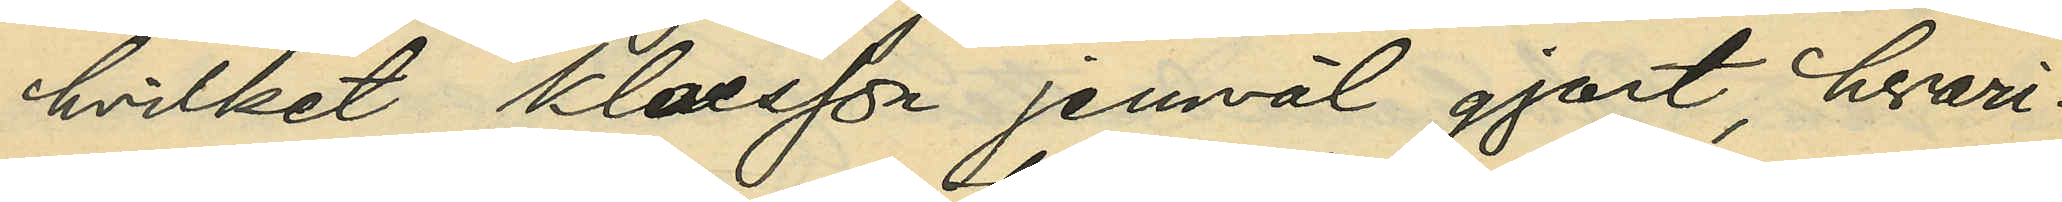hvilket Klaesson jemväl gjort, hvari¬
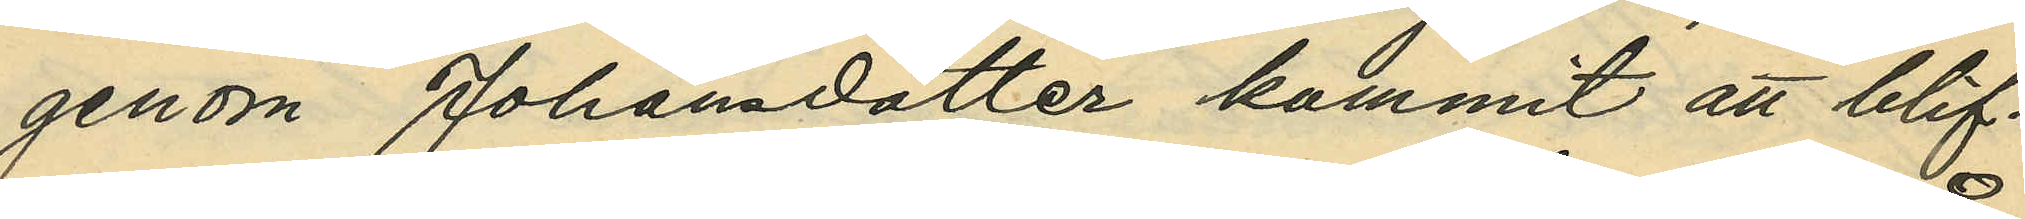genom Johansdotter kommit att blif¬
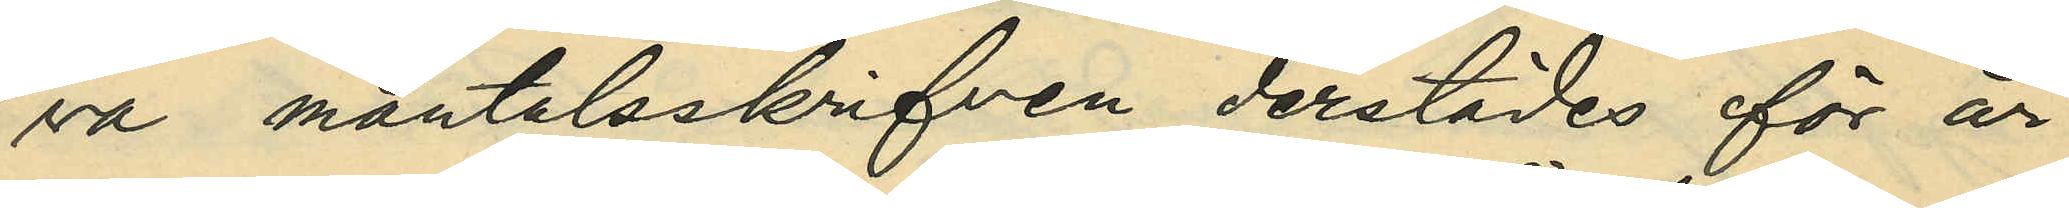va mantalsskrifven derstädes för år
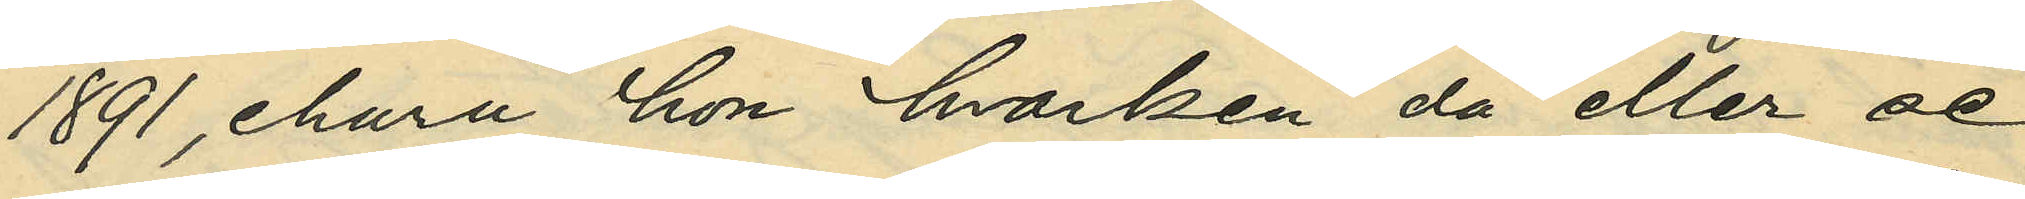1891, ehuru hon hvarken då eller se¬
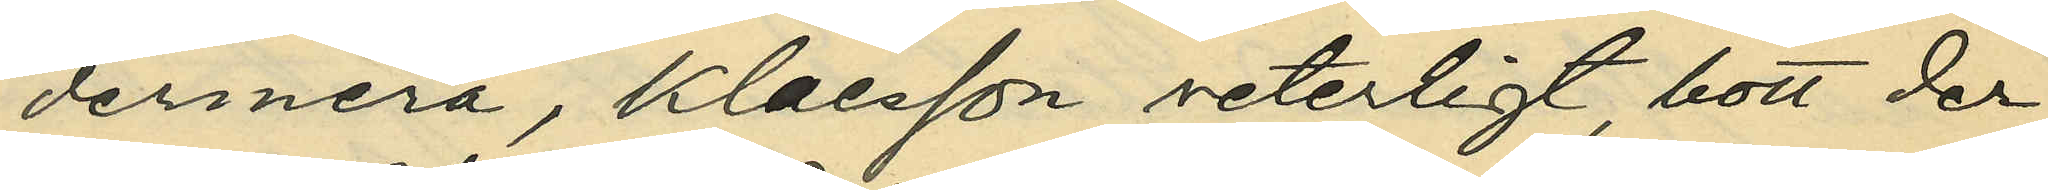dermera, Klaesson veterligt, bott der;
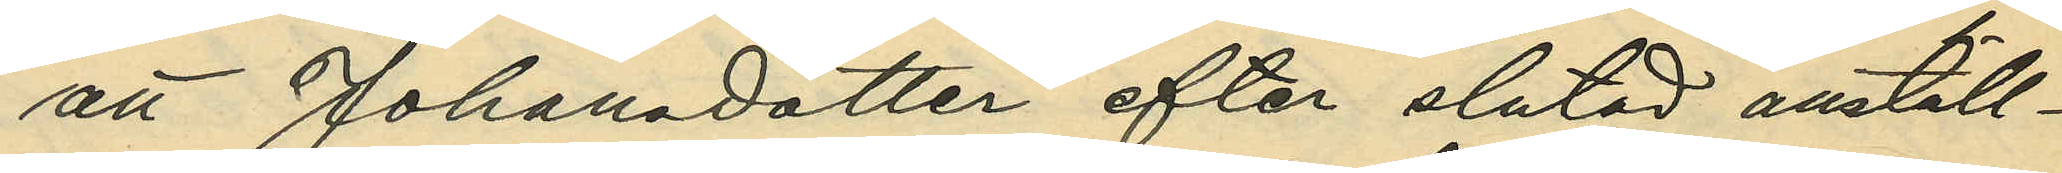att Johansdotter efter slutad anställ¬
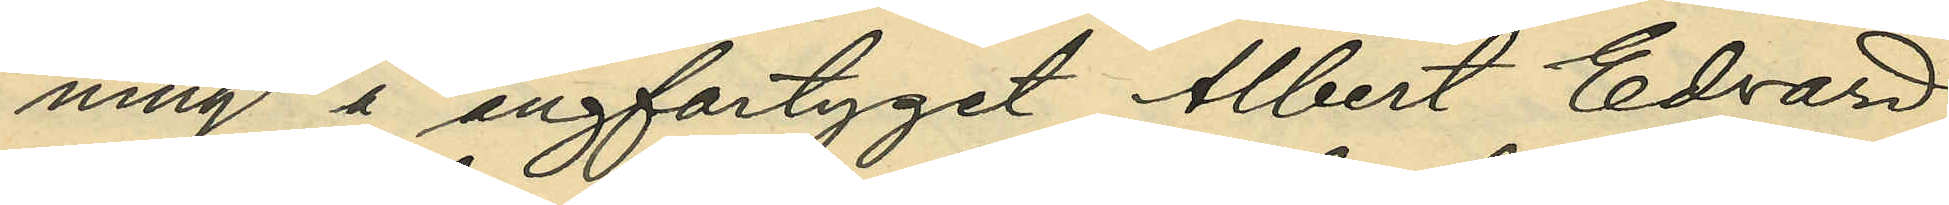ning å ångfartyget Albert Edvard
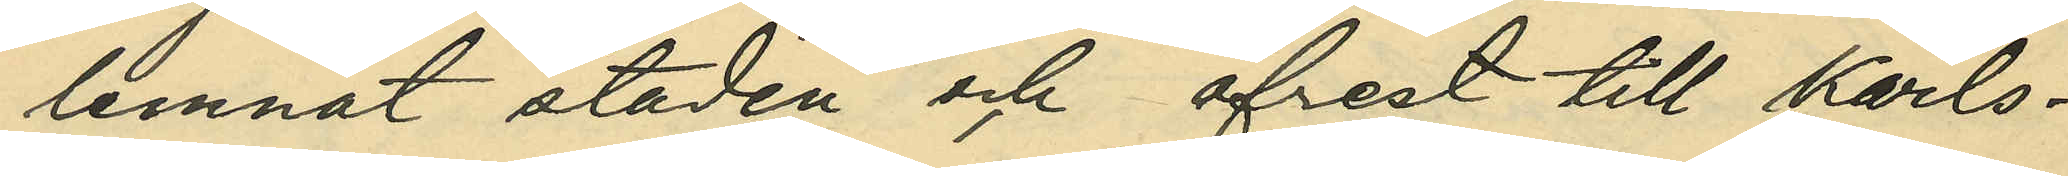lemnat staden och afrest till Karls¬
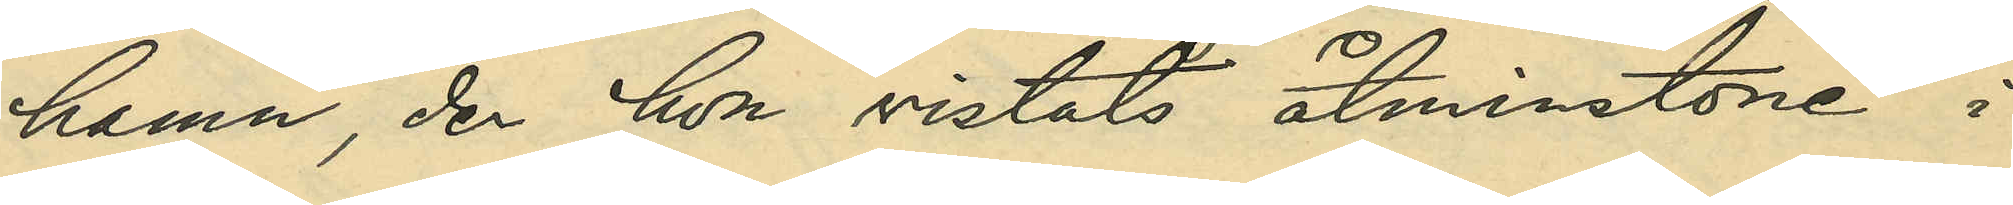hamn, der hon vistats åtminstone i
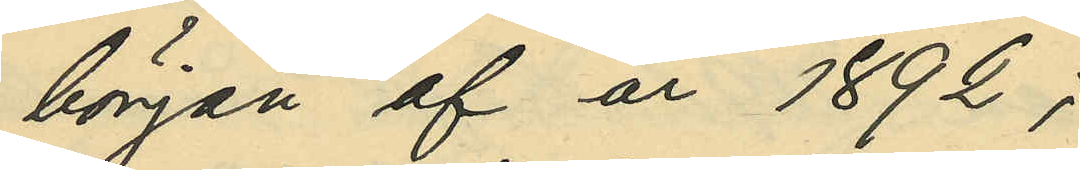början af år 1892;
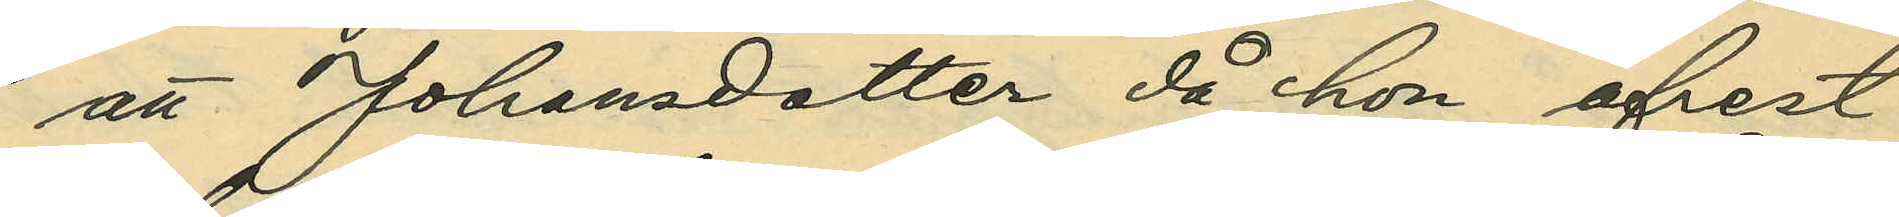att Johansdotter då hon afrest
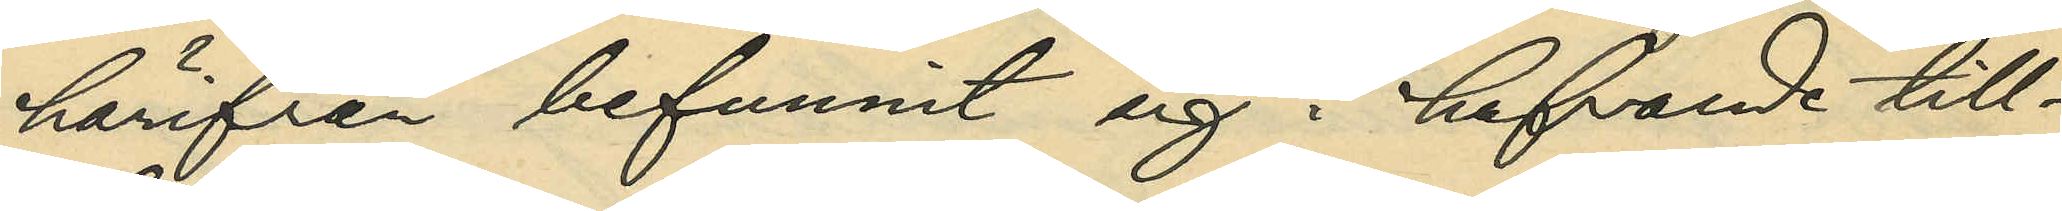härifrån befunnit sig i hafvande till¬
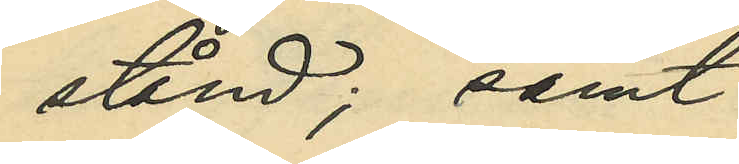stånd; samt
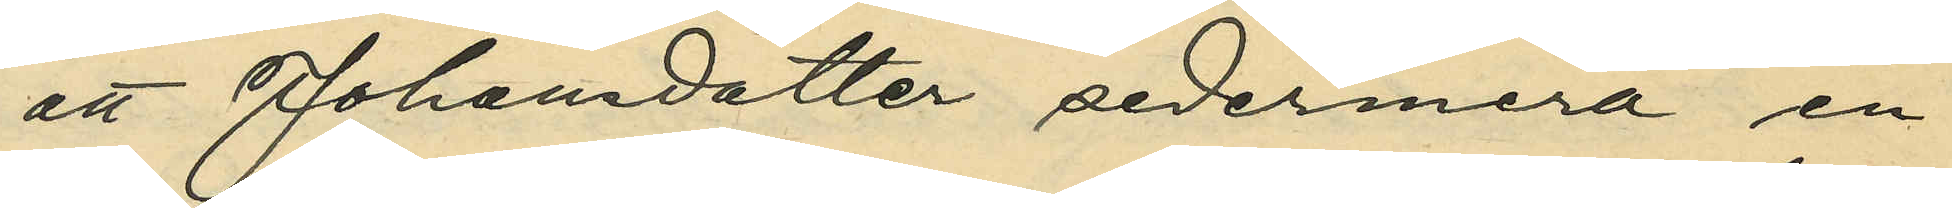att Johansdotter sedermera en¬
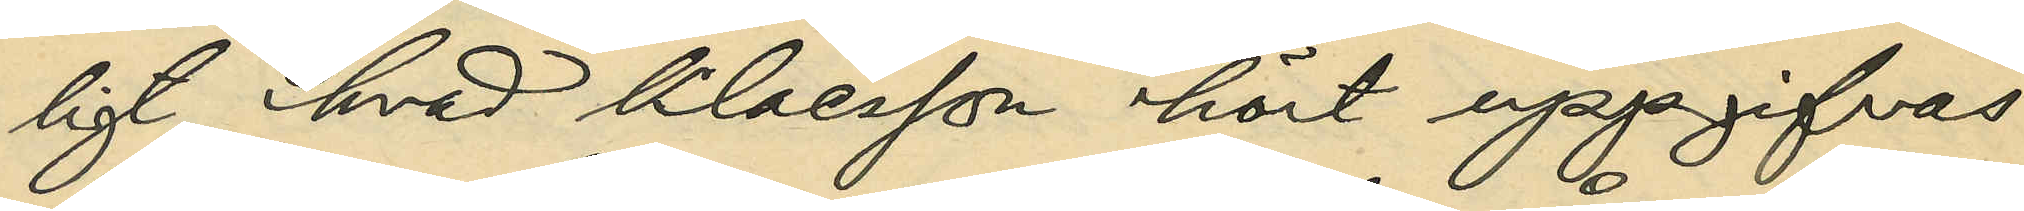ligt hvad Klaesson hört uppgifvas
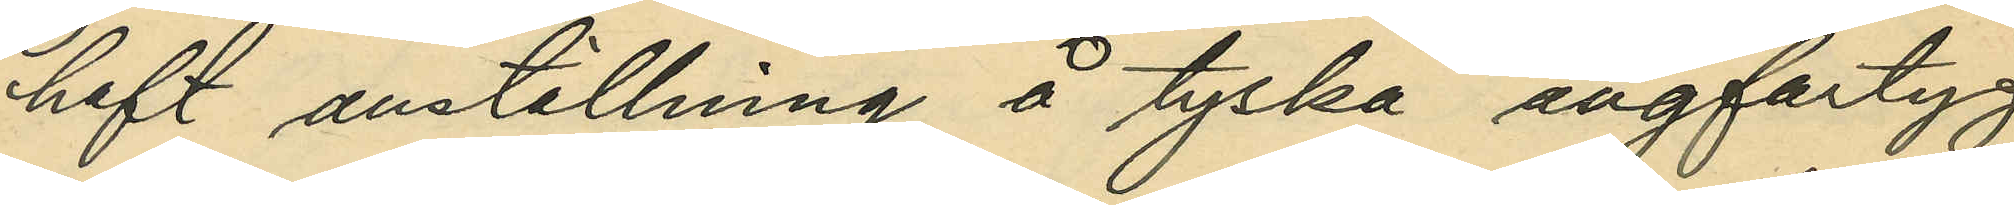haft anställning å tyska ångfartyg
